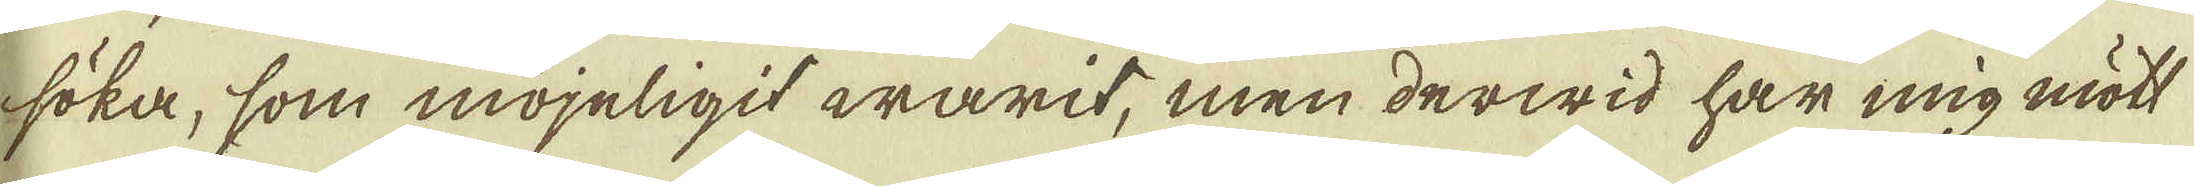söka, som möyeligit warit, men derwid har mig mött
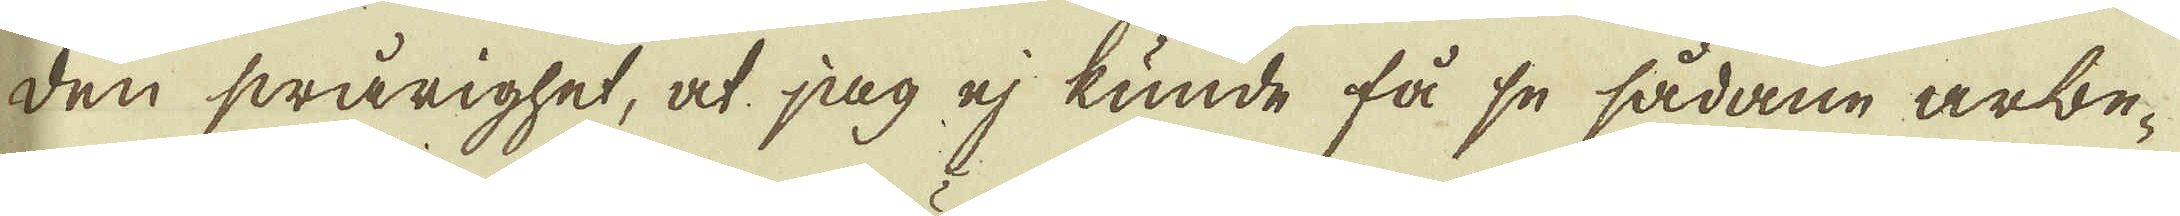den swårighet, at jag ej kunde få se sådane arbe-
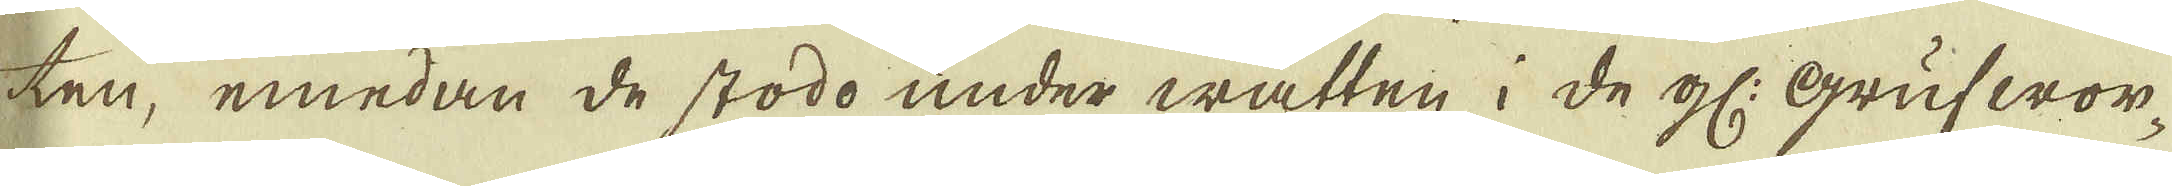ten, emedan de stodo under watten i de gl: Grufwor-
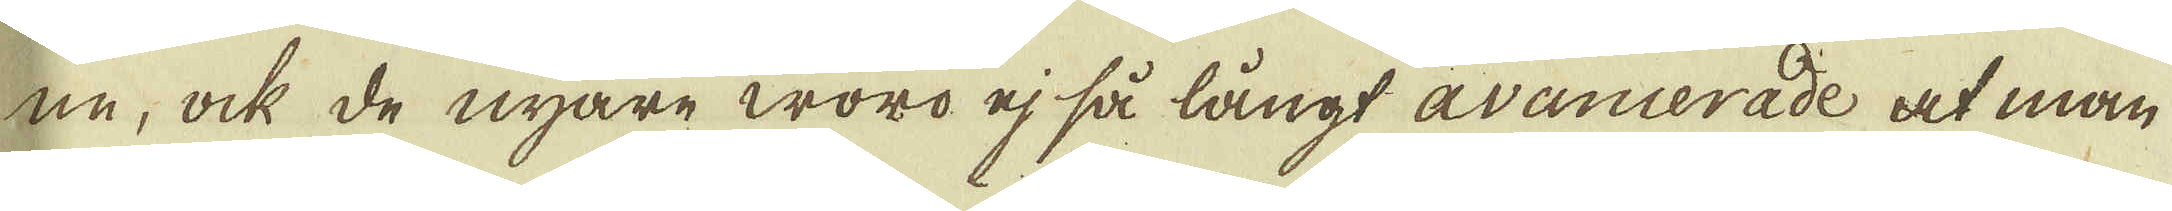ne, ock de nyare woro ej så långt avancerade at man
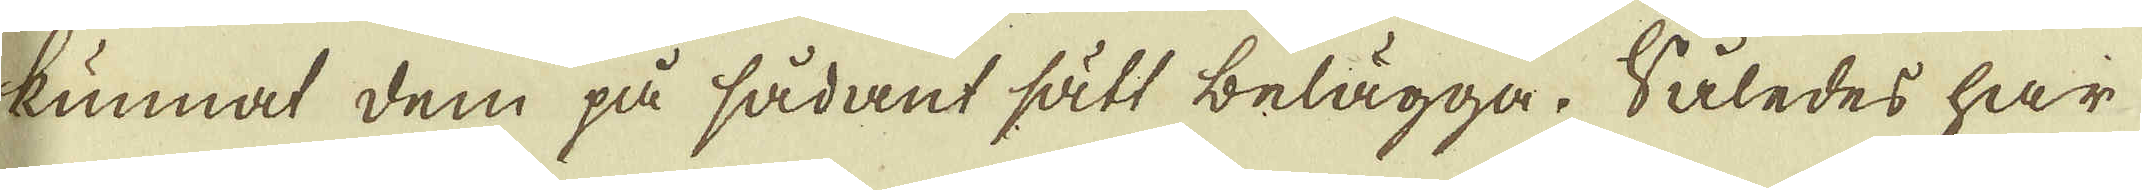kunnat dem på sådant sätt belägga. Således har
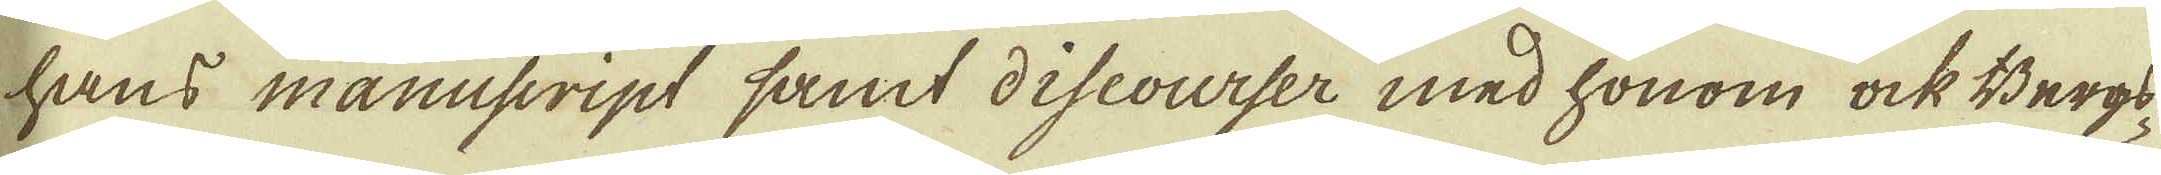hans manusript samt discourser med honom ock Bergs-
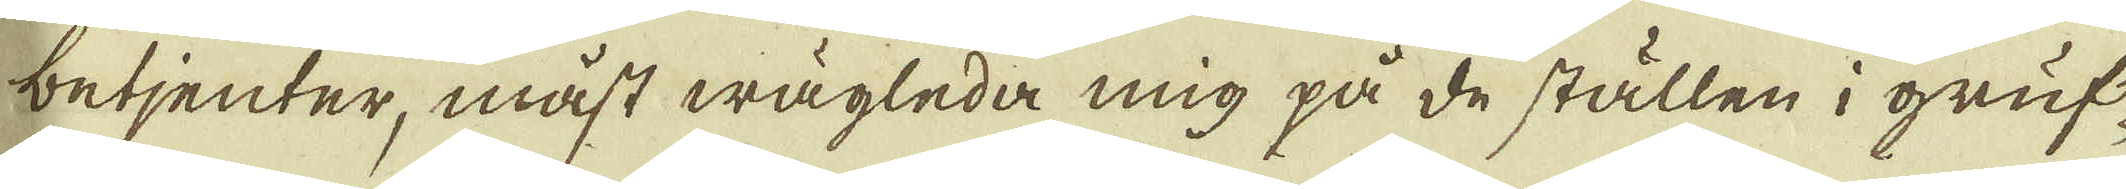betjenter, måst wägleda mig på de ställen i gruf-
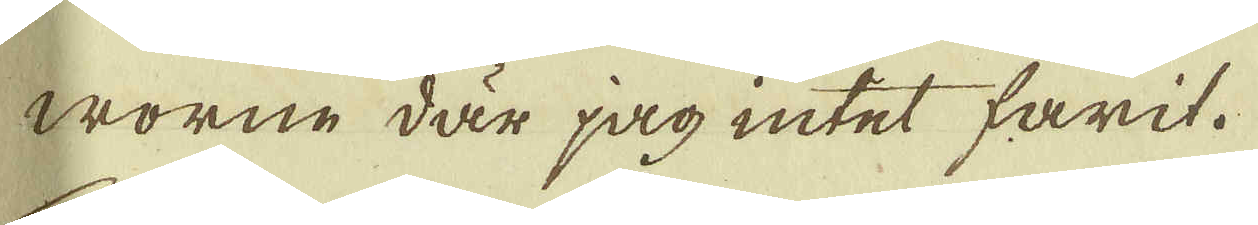worne där jag intet farit.
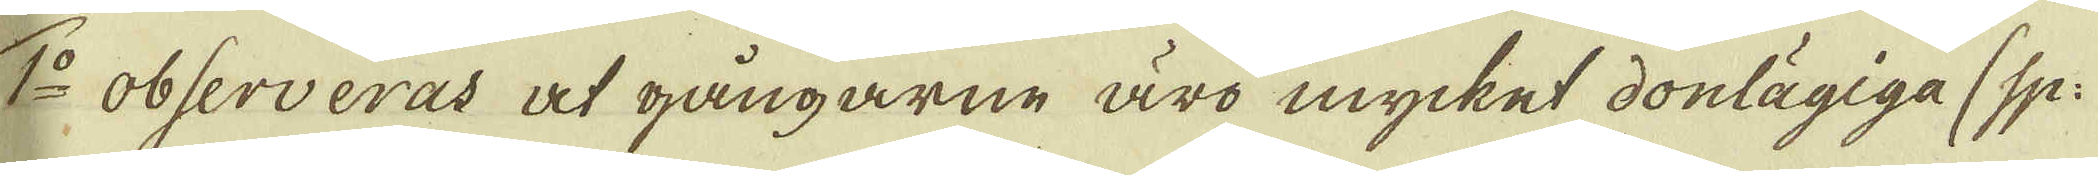7:o observeras at gångarne äro mycket donlägiga (sp:
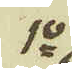1:o
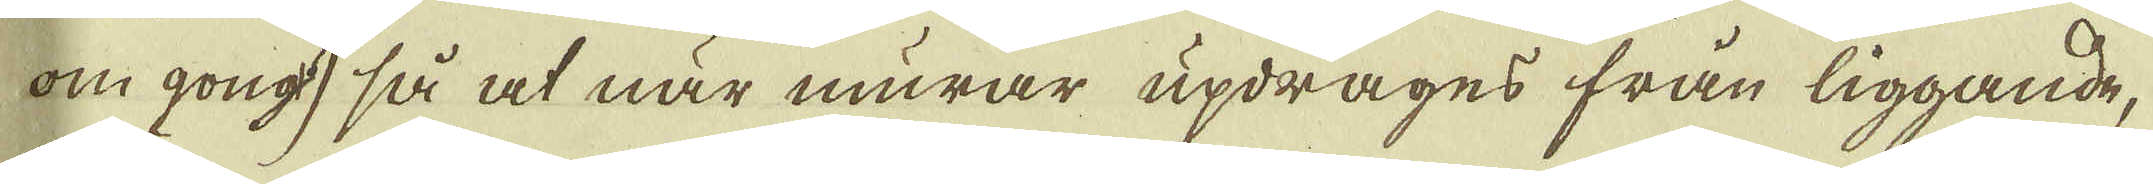om gong, så at när murar updrages från liggande,
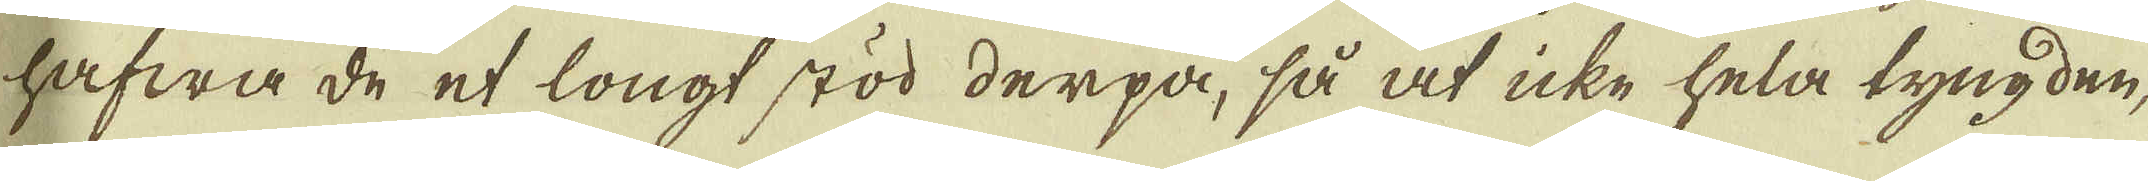hafwa de et longt stöd derpå, så at icke hela tyngden,
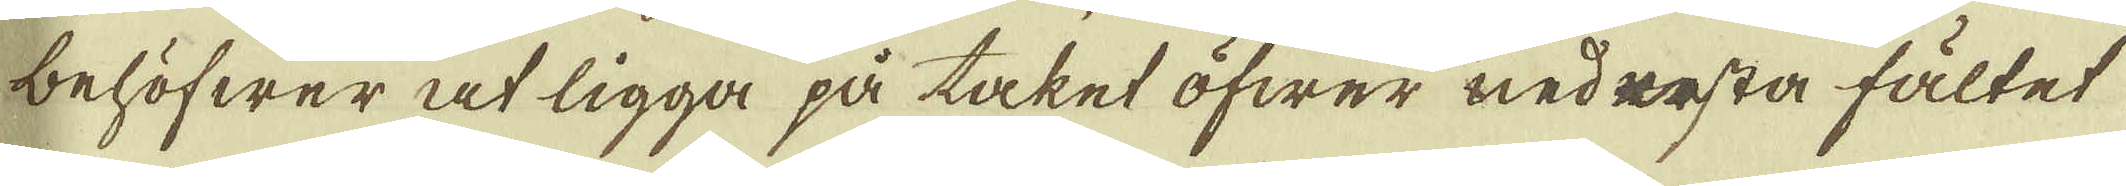behöfwer at ligga på taket öfwer nedresta fältet
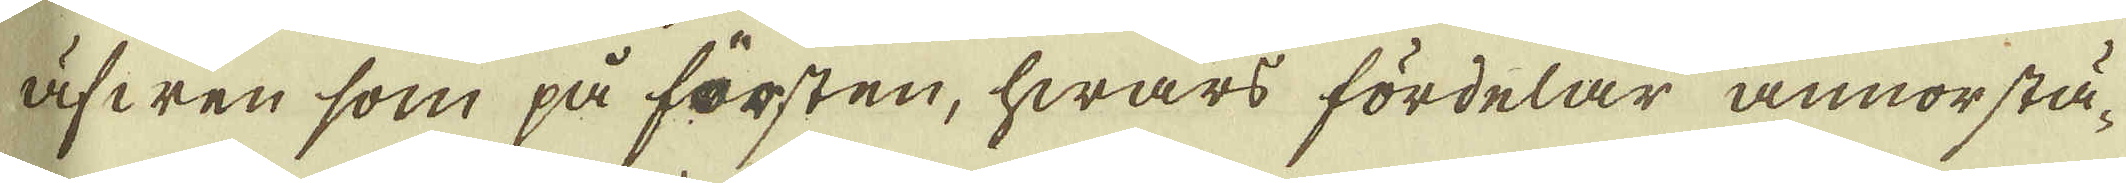äfwen som på försten, hwars fördelar annorstä-
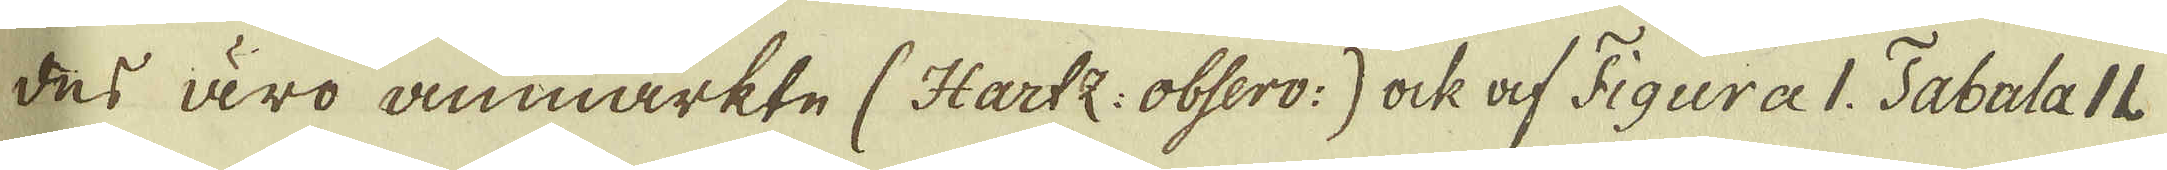des äro anmärkte (Hartz: obsero:) ock af Figura Tabula 11.
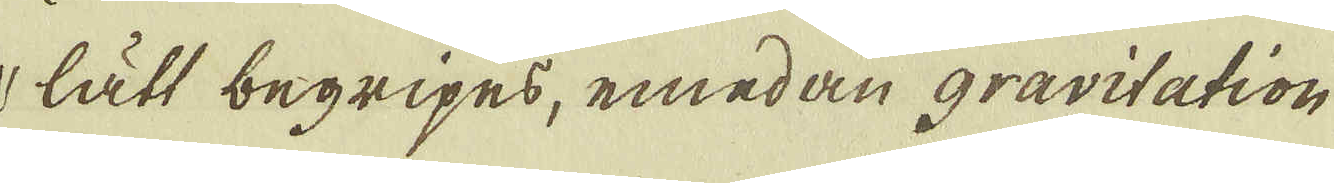lätt begripes, emedan gravitation
